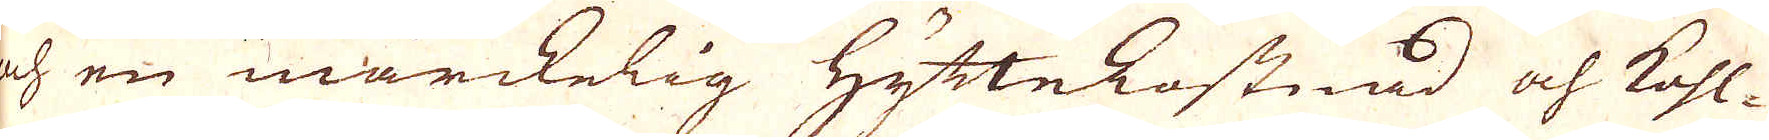och en märckelig Hyttekostnad och kohl-
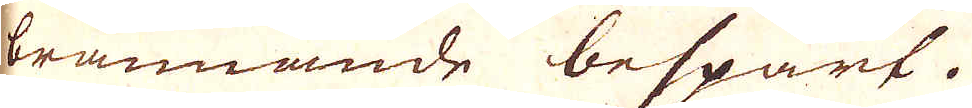brännande bespart.
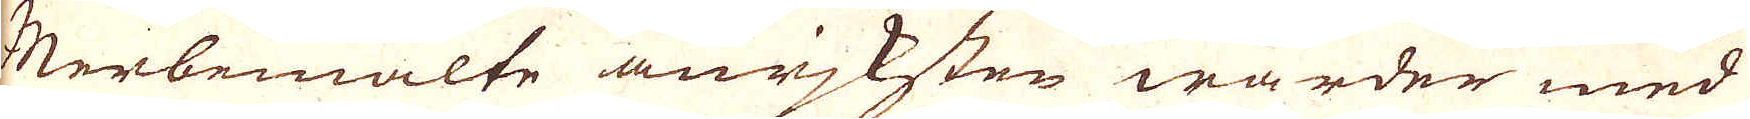Merbemälte anrjksten warder med
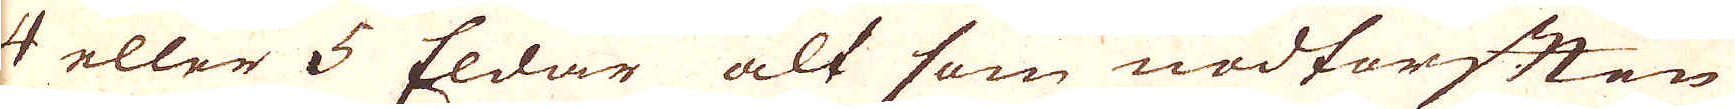4 eller 5 Eldar alt som nödtorften
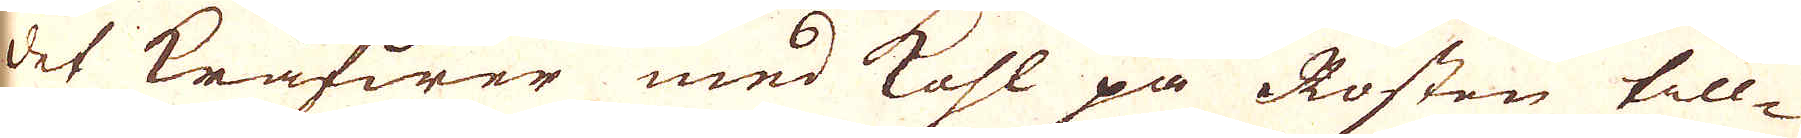det kräfwer med kohl på Rosten till-
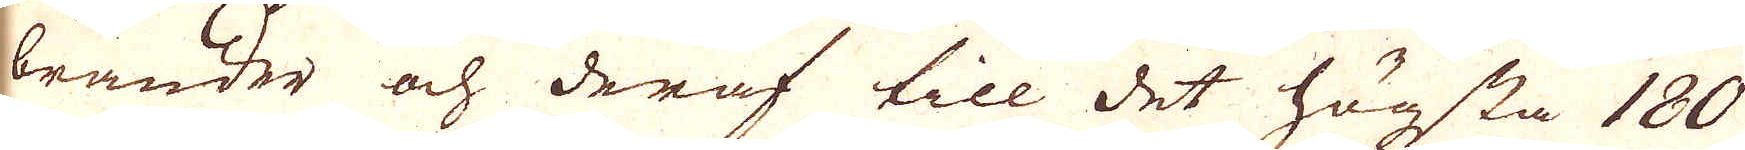bränder och deraf till det högsta 180
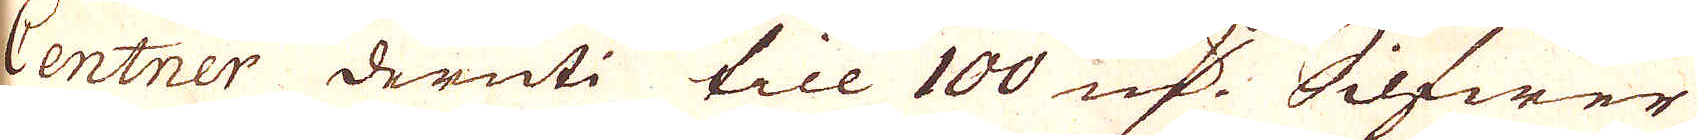Centner deruti till 100 qv:r Silfwer
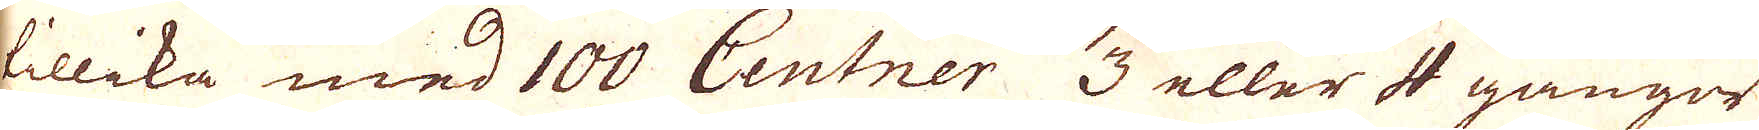tillika med 100 Centner 3 eller 4 gånger
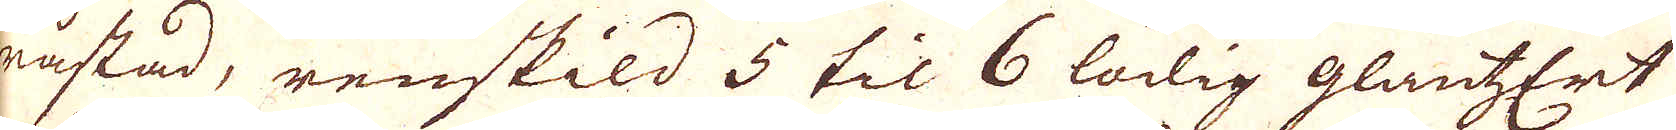råstad, renskild 5 til 6 lödig glantzErt
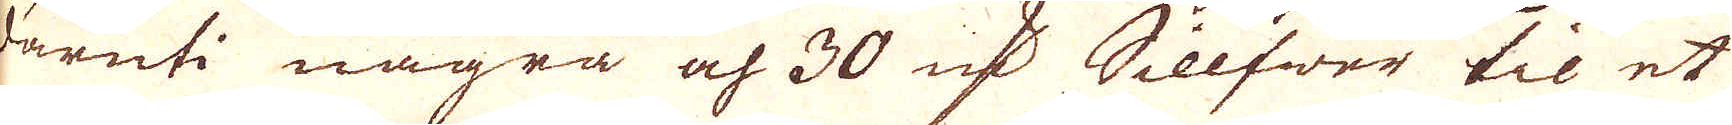däruti några och 30 qv:r Sillfwer til et
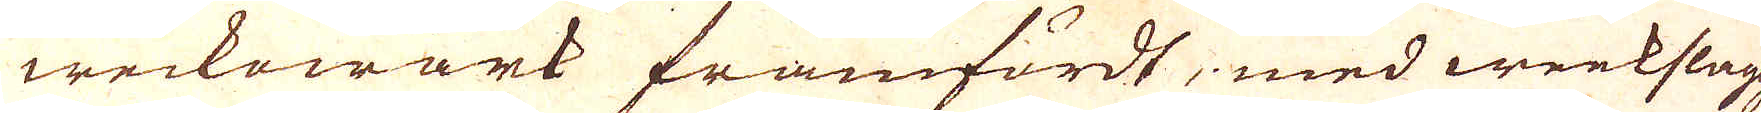weckowärk framfördt, med wekslagg
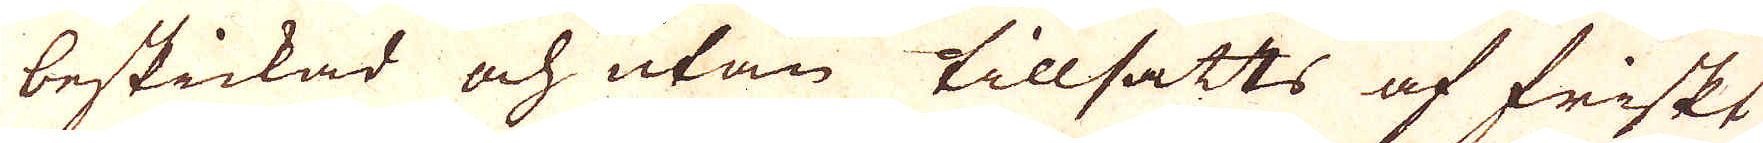beskickad och utan tillsatts af friskt
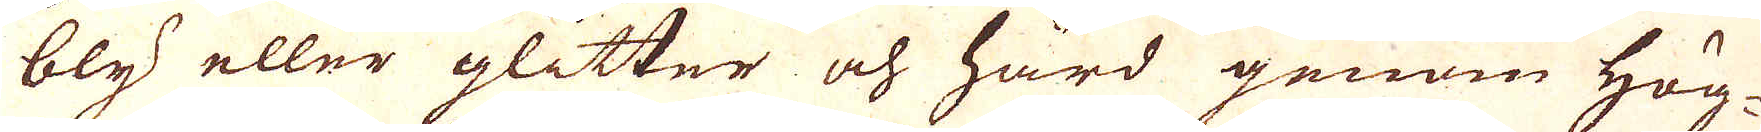bly eller glitter och hård genom Hög-
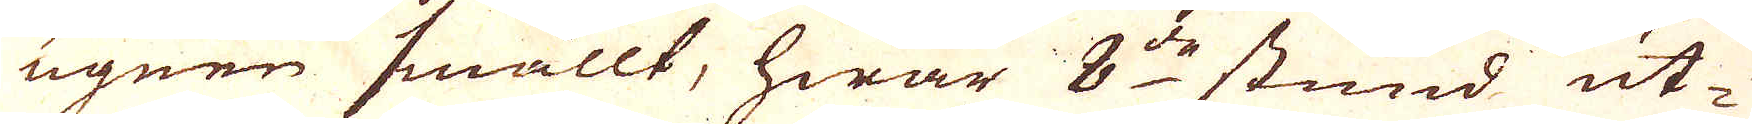ugnen smällt, hwar 8:de stund ut-
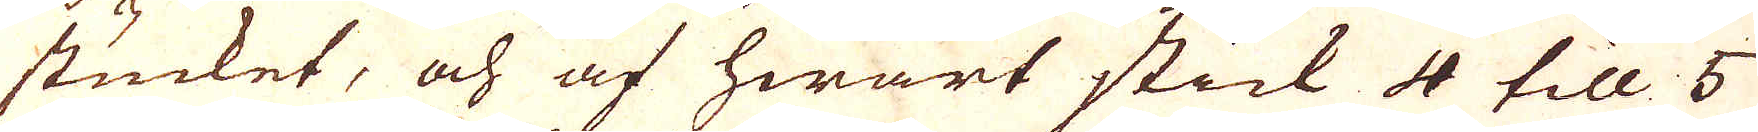stucket, och af hwart stick 4 till 5
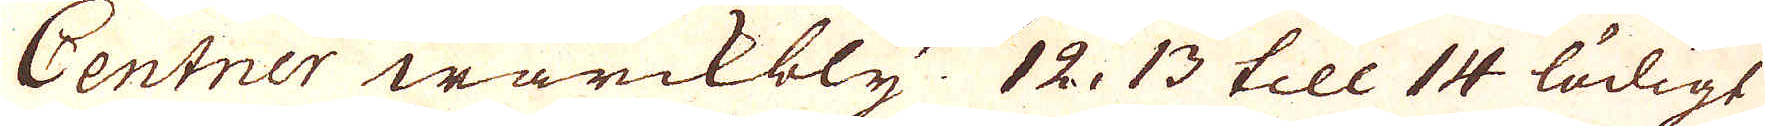Centner wärckbly. 12, 13 till 14 lödigt
